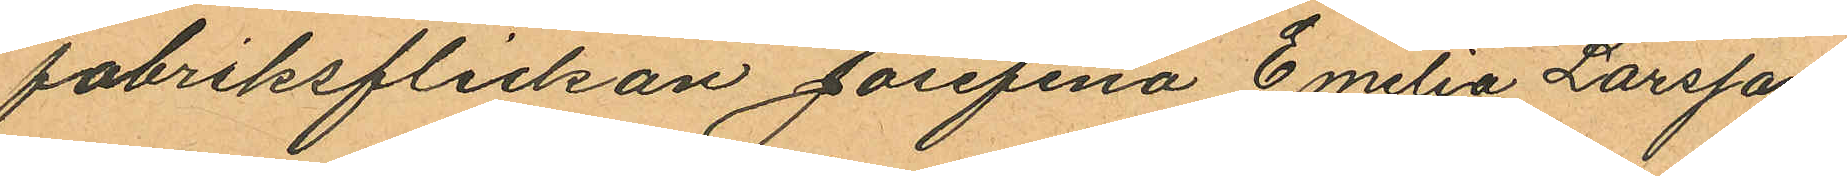fabriksflickan Josefina Emilia Larsson
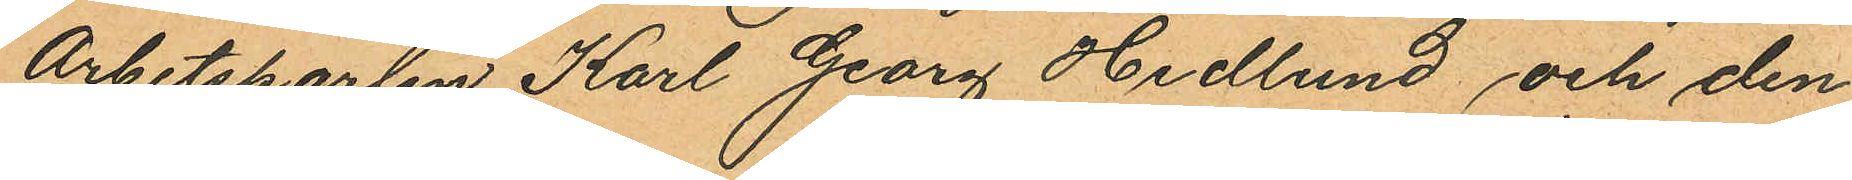Arbetskarlen Karl Georg Hedlund och den¬
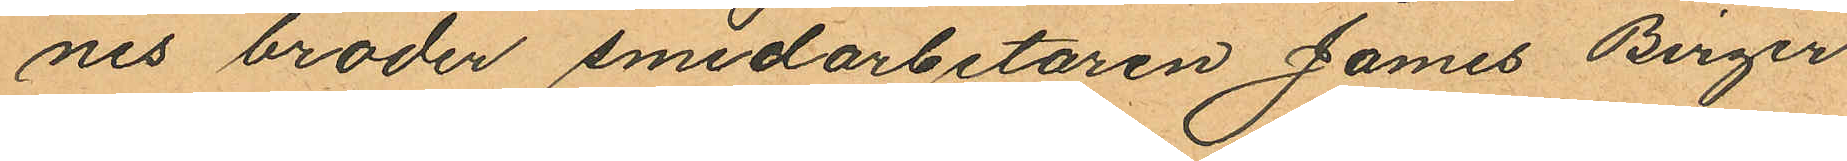nes broder smedarbetaren James Birger
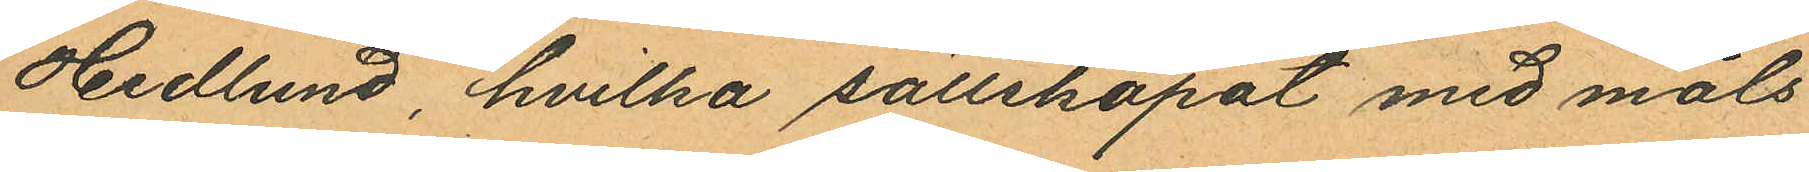Hedlund, hvilka sällskapat med måls¬
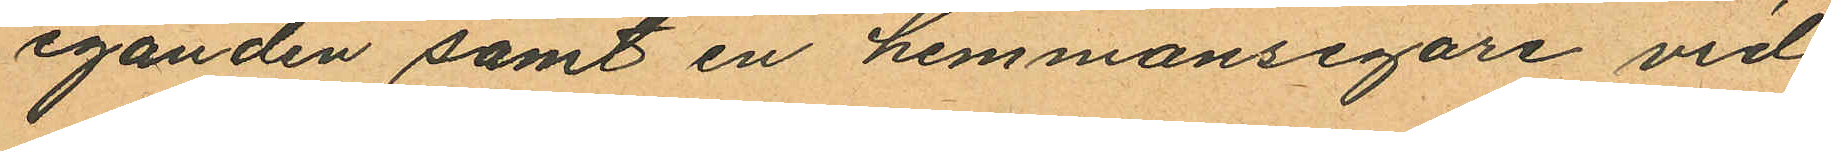eganden samt en hemmansegare vid
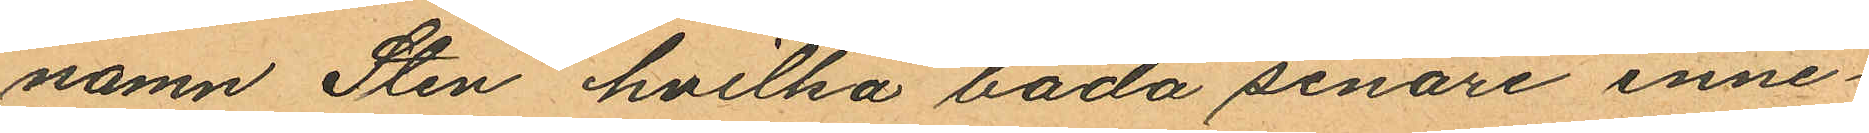namn Sten hvilka båda senare inne¬
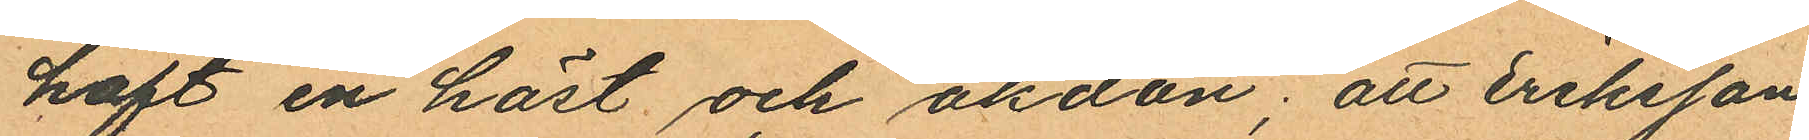haft en häst och åkdon; att Eriksson
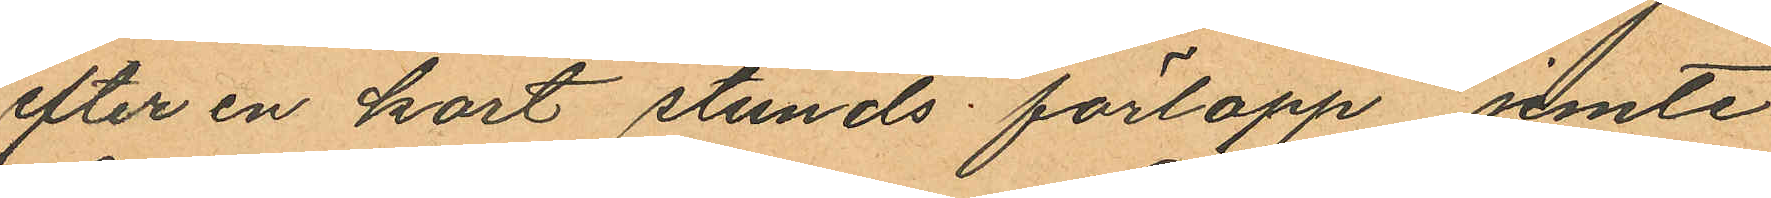efter en kort stunds förlopp jemte
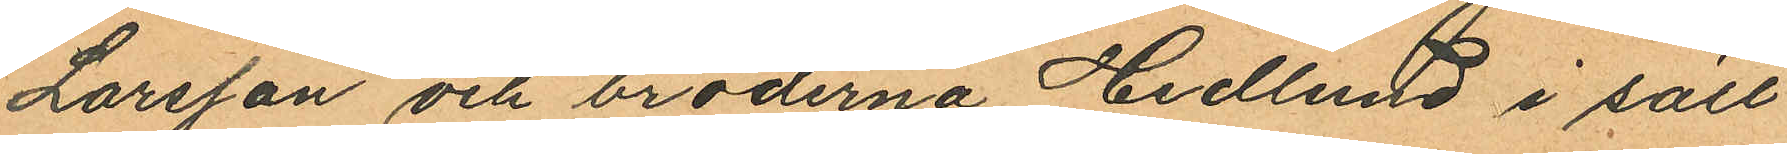Larsson och bröderna Hedlund i säll¬
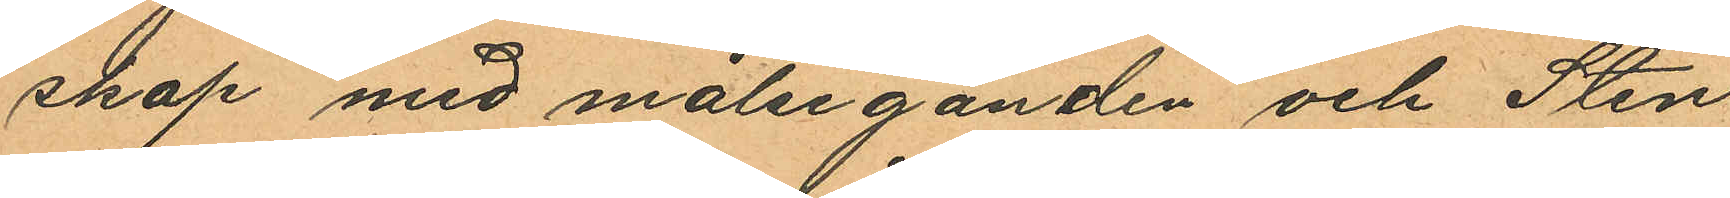skap med målseganden och Sten
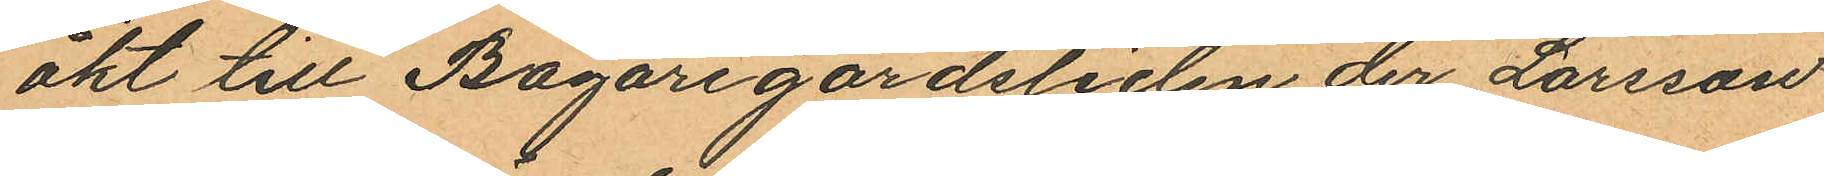åkt till Bagaregårdsliden der Larsson
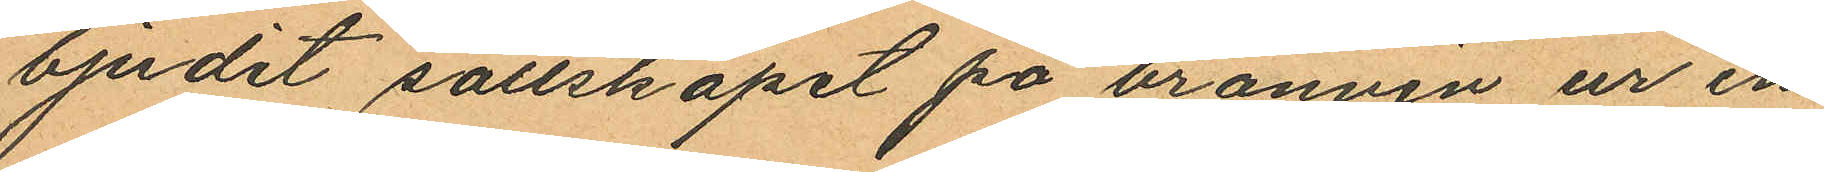bjudit sällskapet på bränvin ur en
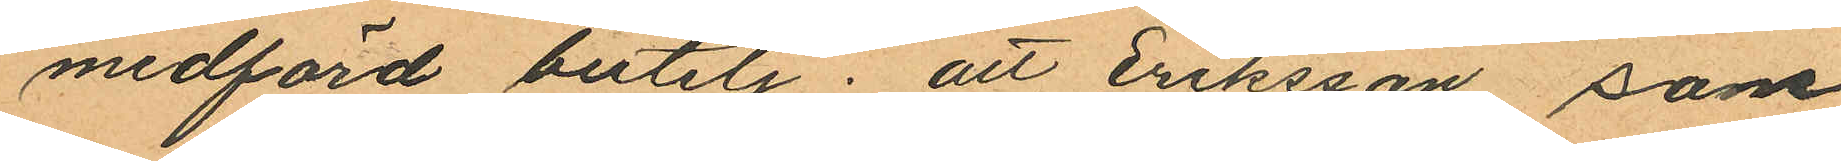medförd butelj; att Eriksson, som
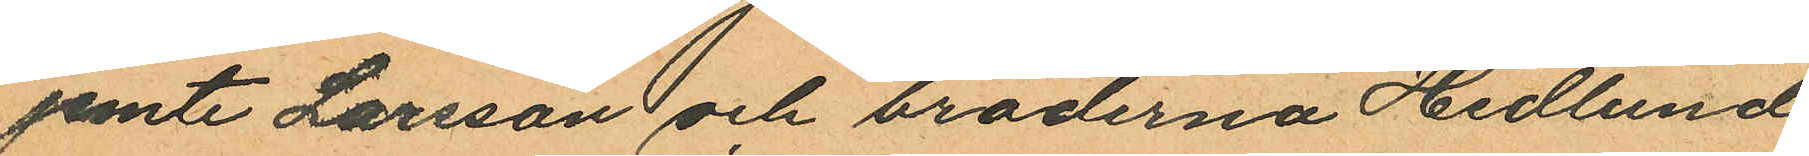jemte Larsson och bröderna Hedlund
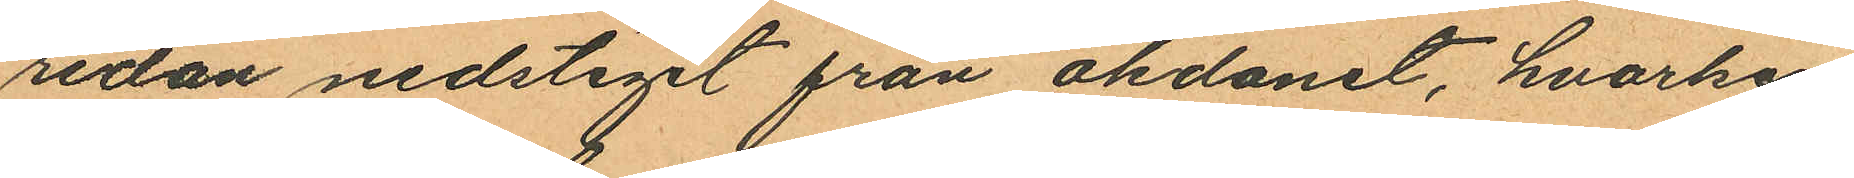redan nedstigit från åkdonet, hvarken
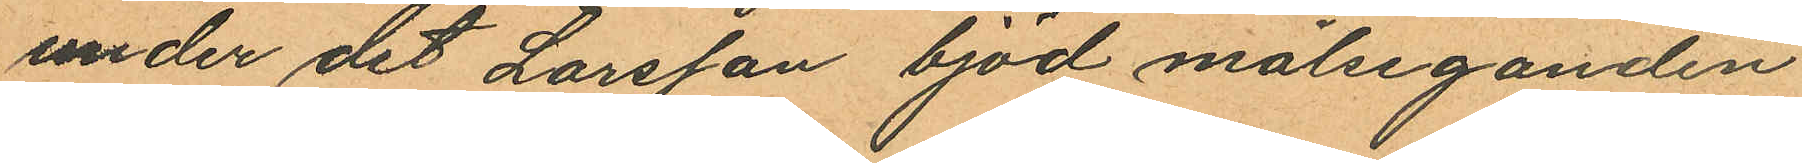under det Larsson bjöd målseganden
